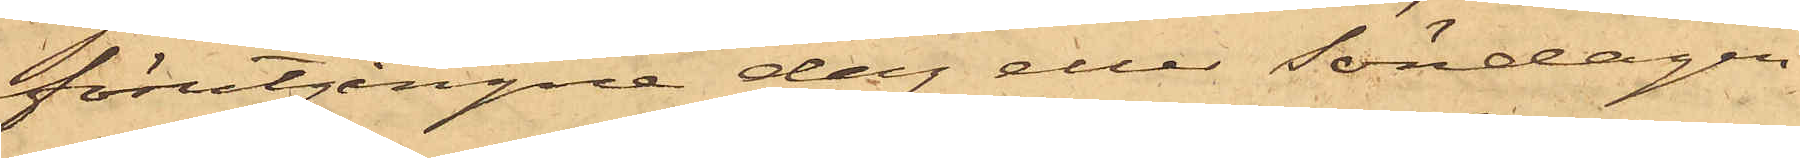förutgångne dag eller Söndagen
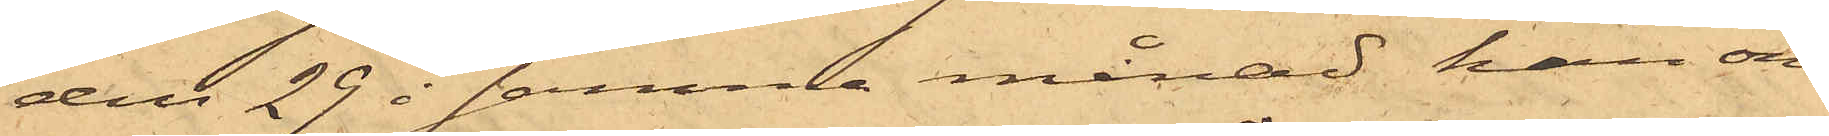den 29 i samma månad han om¬
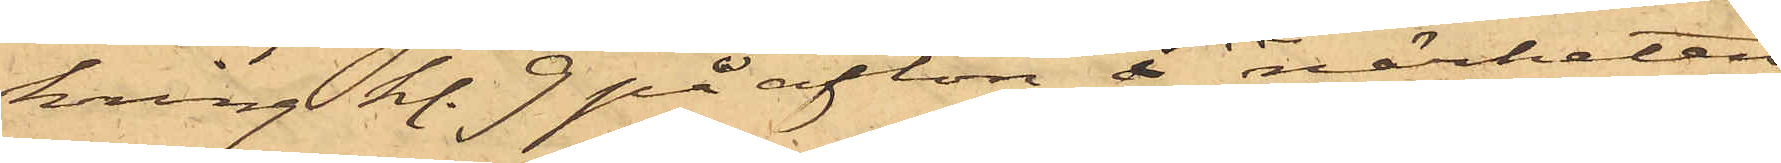kring kl. 9 på afton i närheten
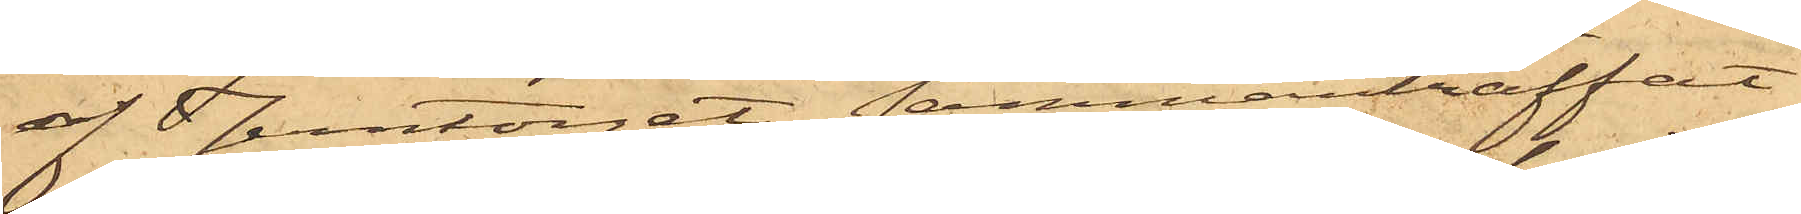af Jerntorget sammanträffat
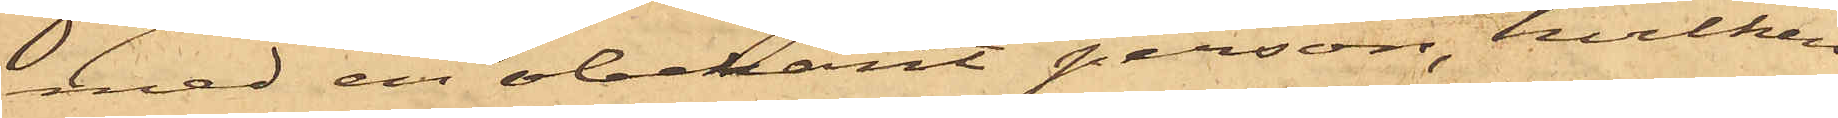med en obekant person, hvilken
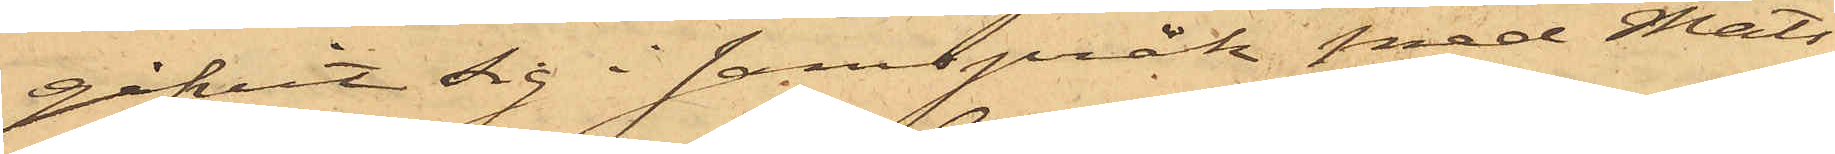gifvit sig i samspråk med Mats¬
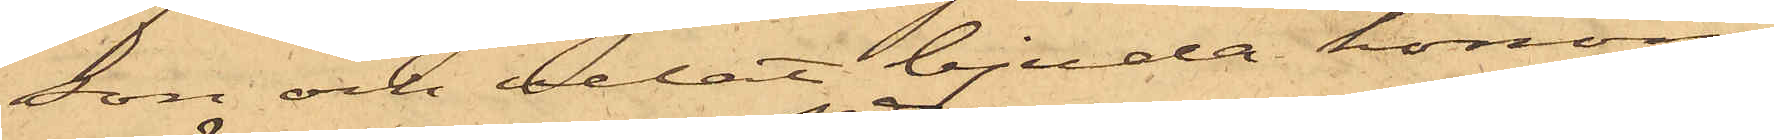son och velat bjuda honom
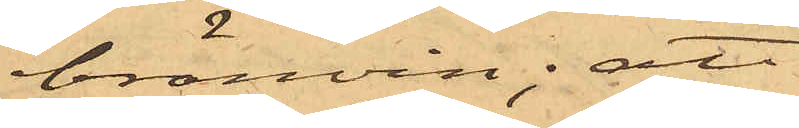bränvin; att
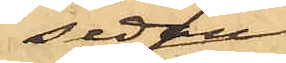sedan
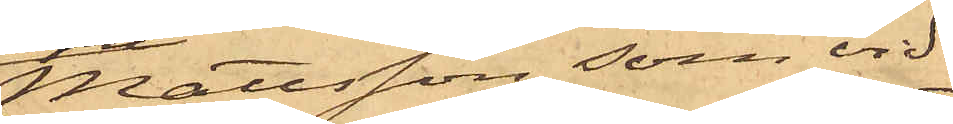Mattsson, som vid
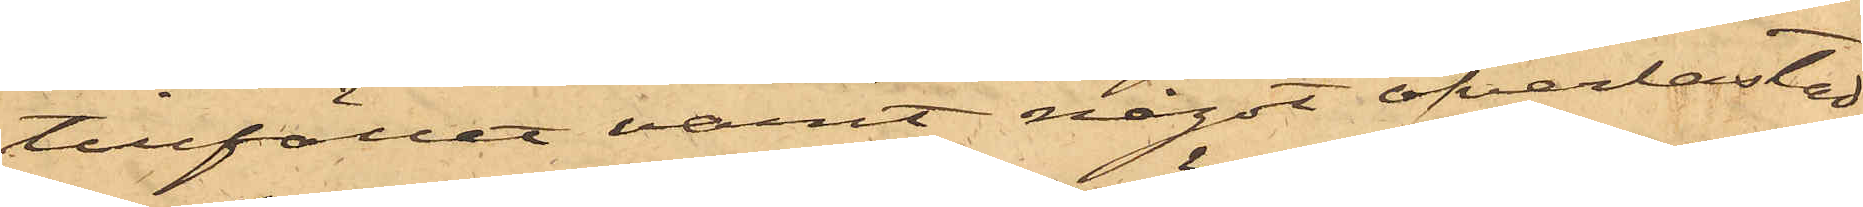tillfället varit något öfverlastad
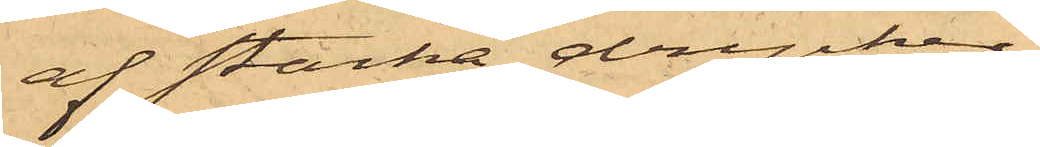af starka drycker,
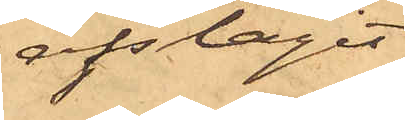afslagit
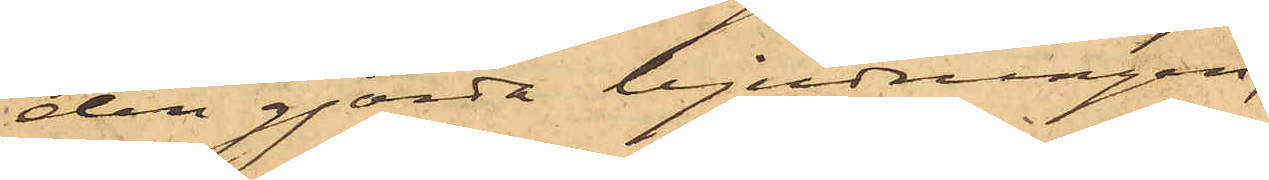den gjorda bjudningen,
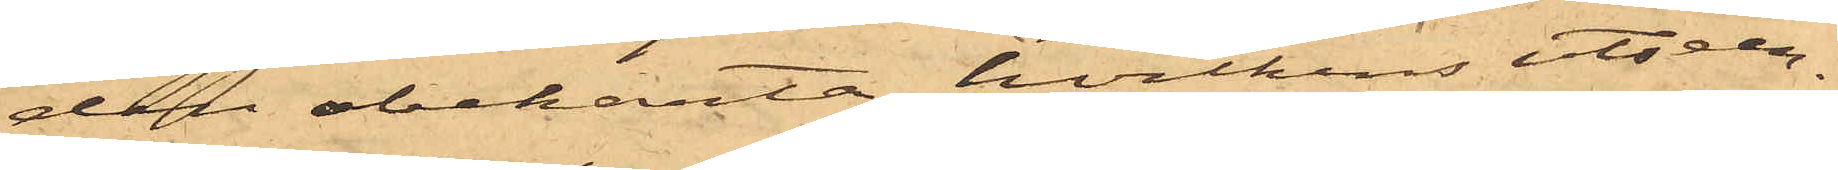den obekanta, hvilkens utseen¬
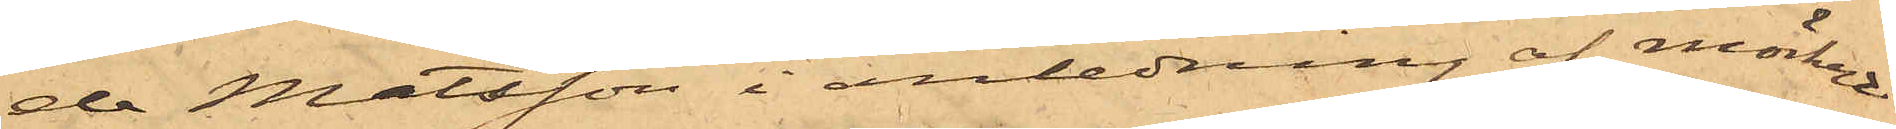de Matsson i anledning af mörket
